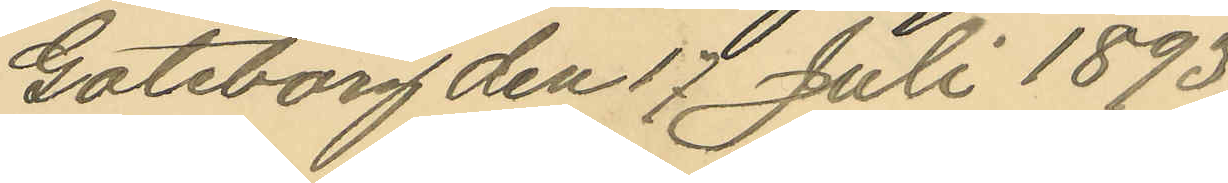Göteborg den 17 Juli 1893.
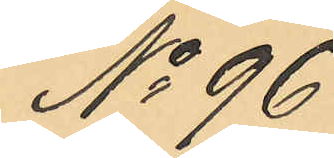No 96
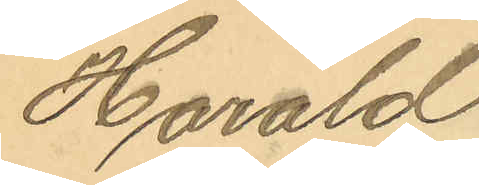Harald
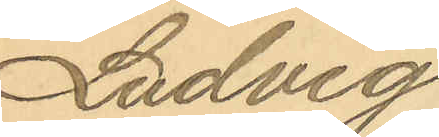Ludvig
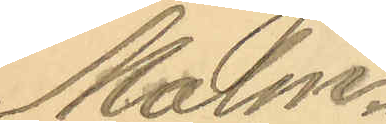Malm¬
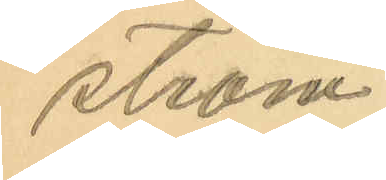ström
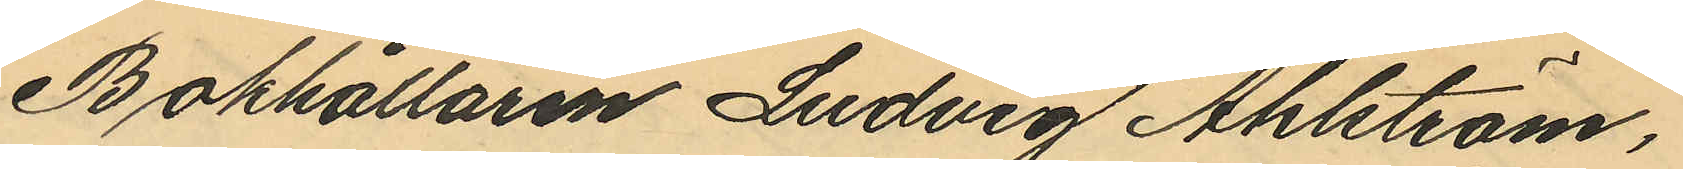Bokhållaren Ludvig Ahlström,
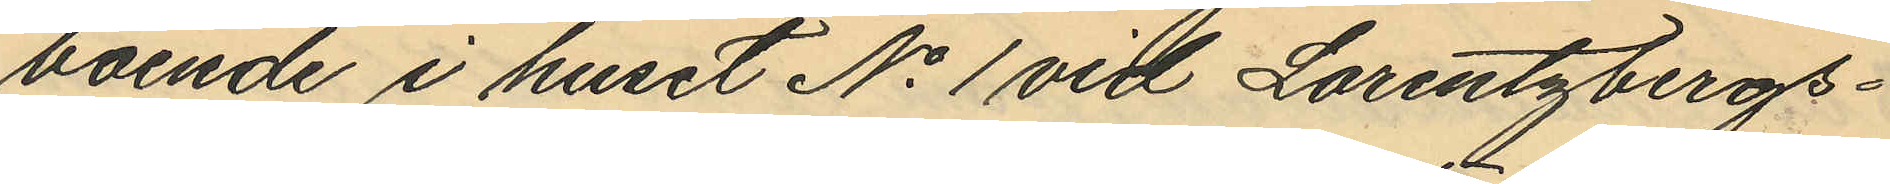boende i huset No 1 vid Lorentzbergs¬
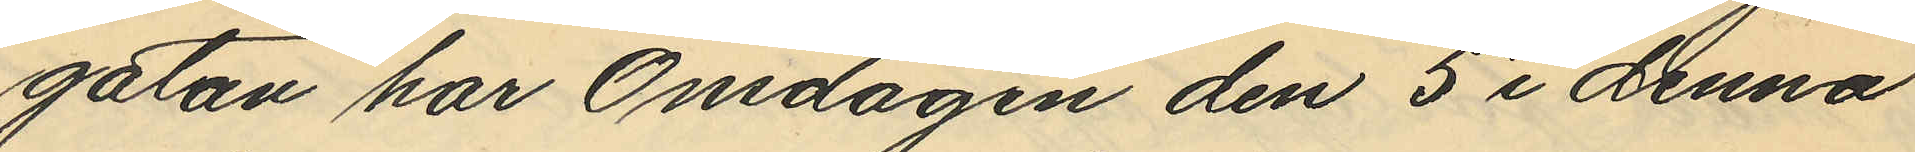gatan har Onsdagen den 5 i denna
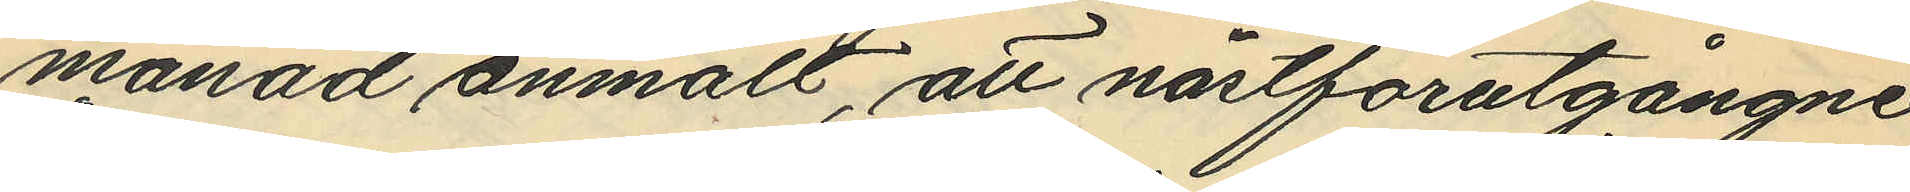månad anmält, att nästförutgångne
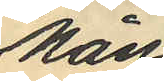Mån¬
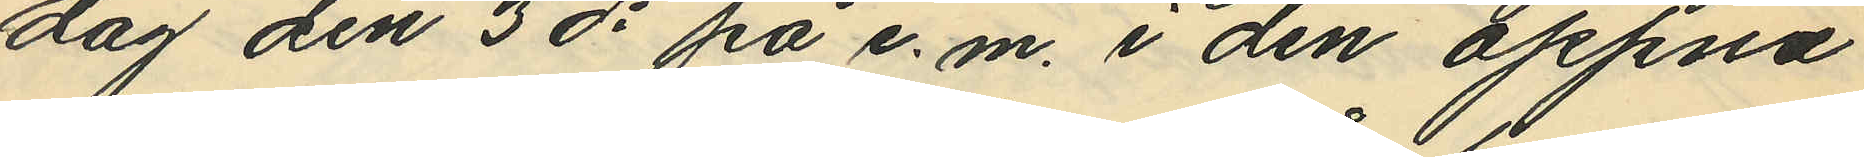dag den 3 ds på e.m. i den öppna
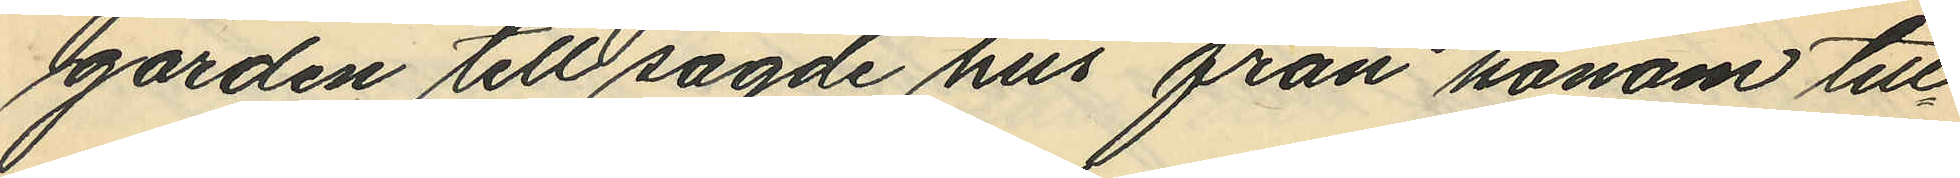gården till sagde hus från honom till¬
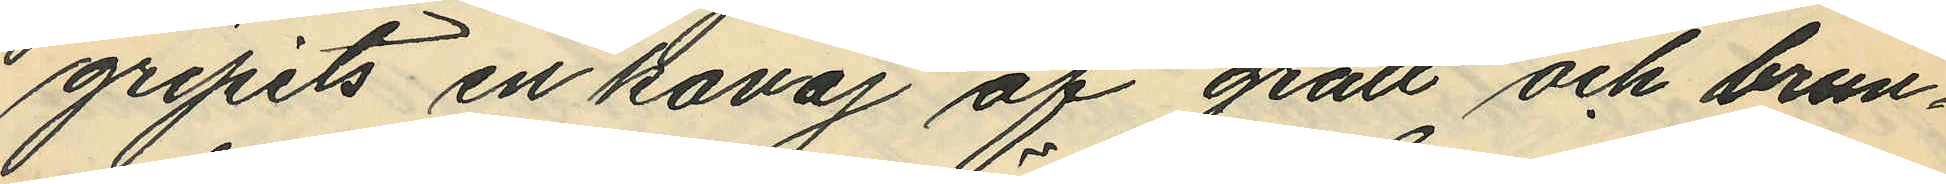gripits en kavaj af grått och brun¬
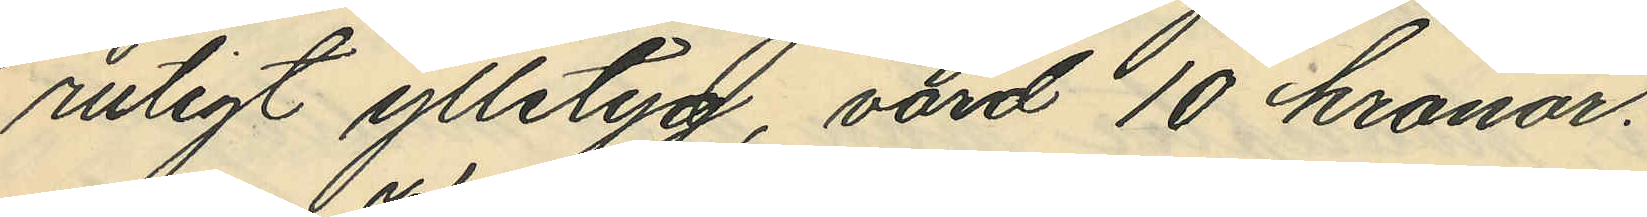rutigt ylletyg, värd 10 kronor.
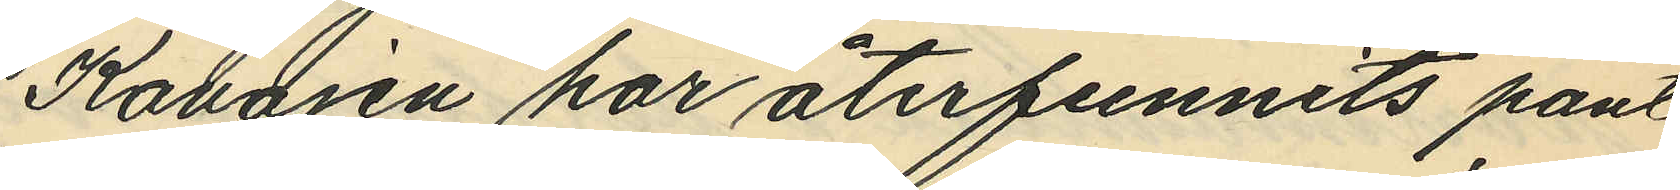Kavajen har återfunnits pant¬
